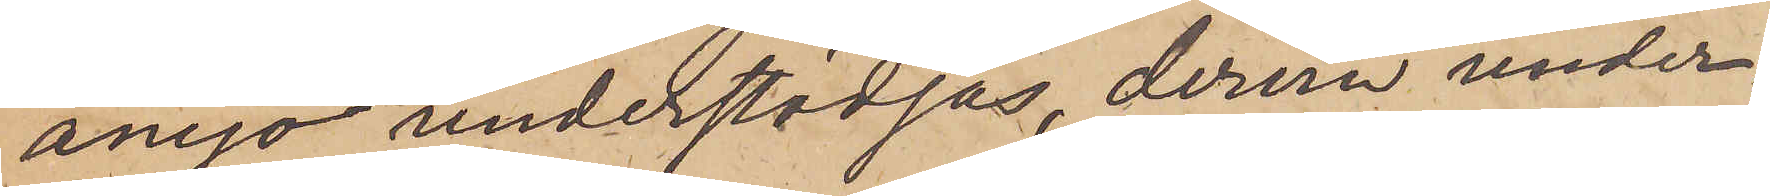ånyo understödjas, derom under¬
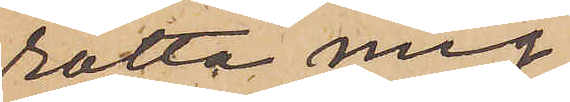rätta mig.
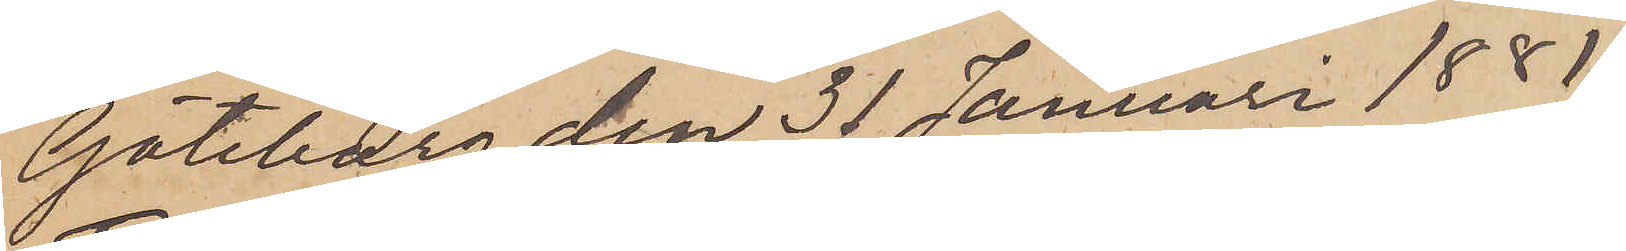Göteborg den 31 Januari 1881
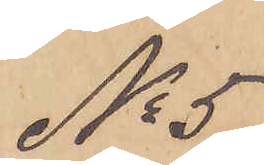No 5
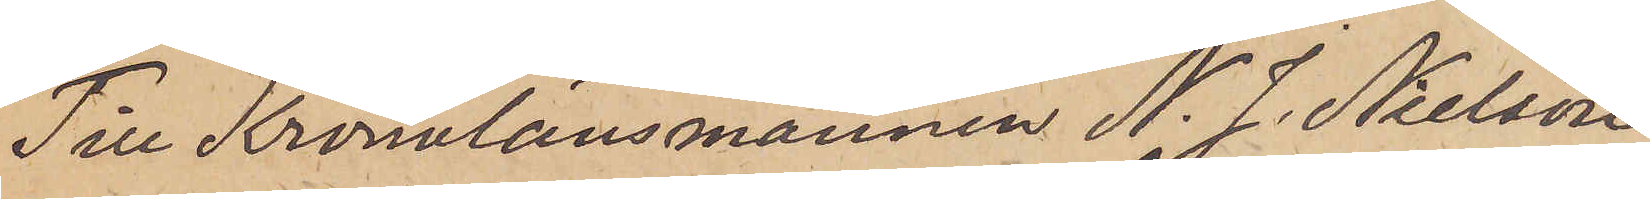Till Kronolänsmannen N. J. Nielson.
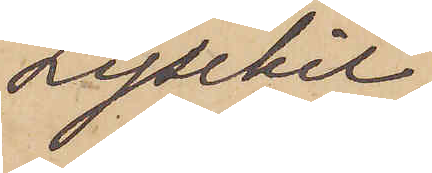Lysekil.
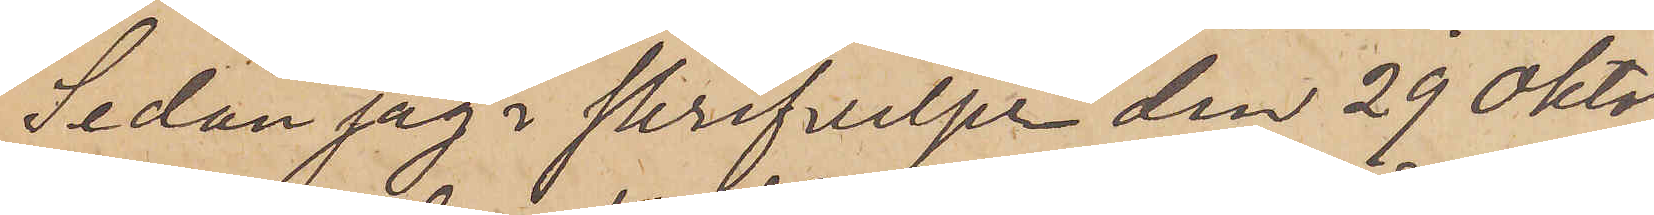Sedan jag i skrifvelse den 29 Okto¬
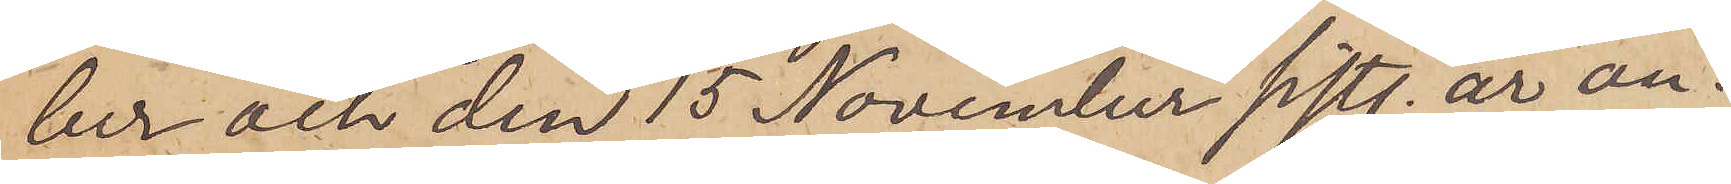ber och den 15 November sistl. år an¬
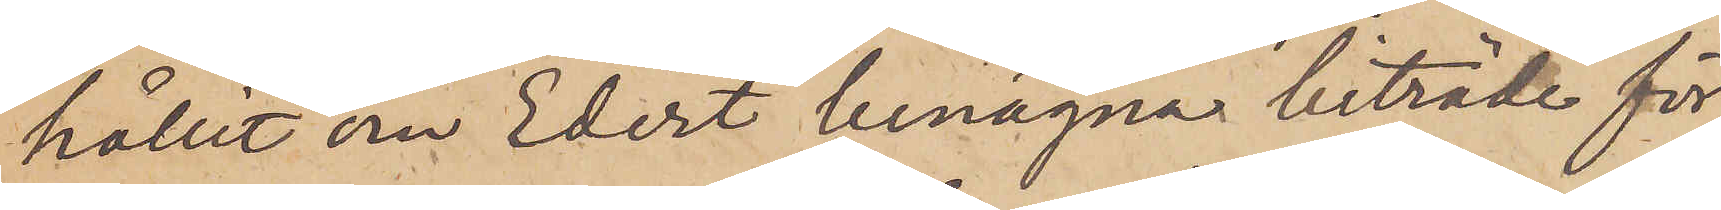hållit om Edert benägna biträde för
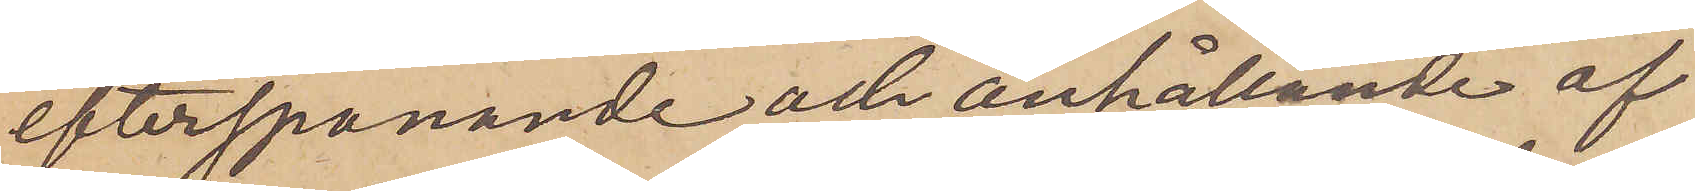efterspanande och anhållande af
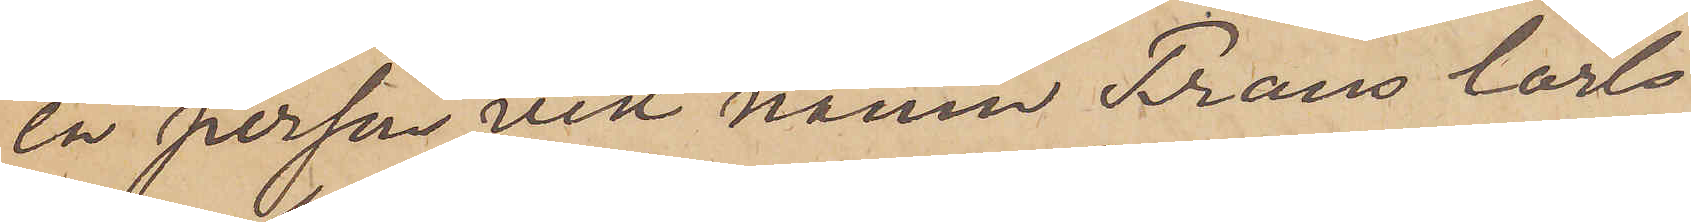en person vid namn Frans Carls¬
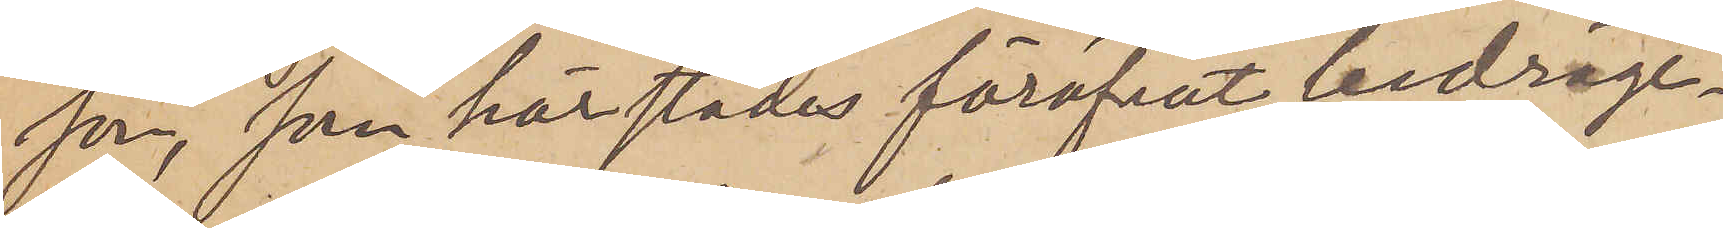son, som härstädes föröfvat bedräge¬
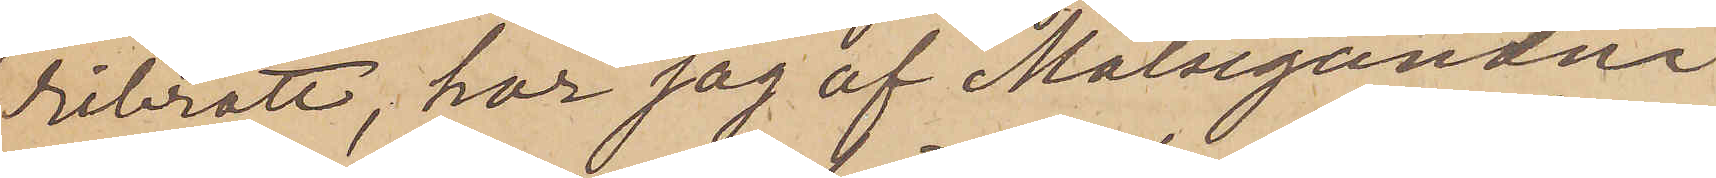ribrott, har jag af Målseganden
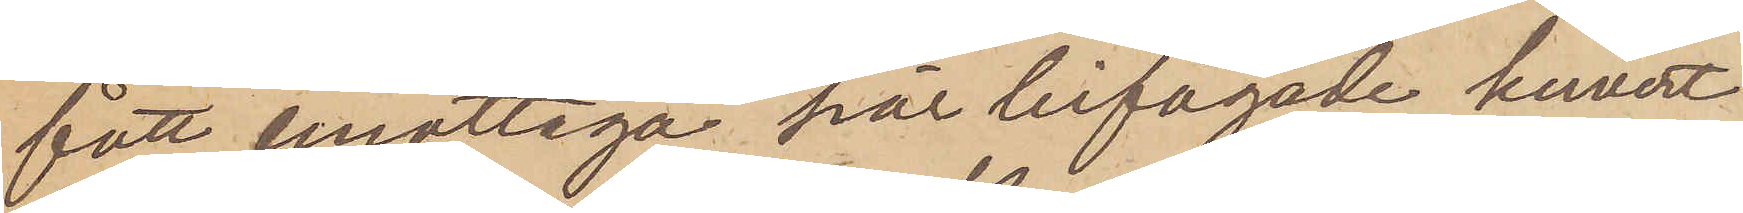fått emottaga här bifogade kuvert
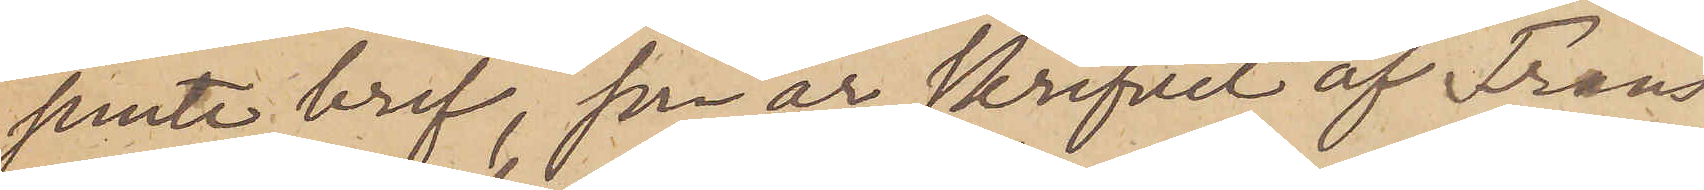jemte bref, som är skrifvet af Frans
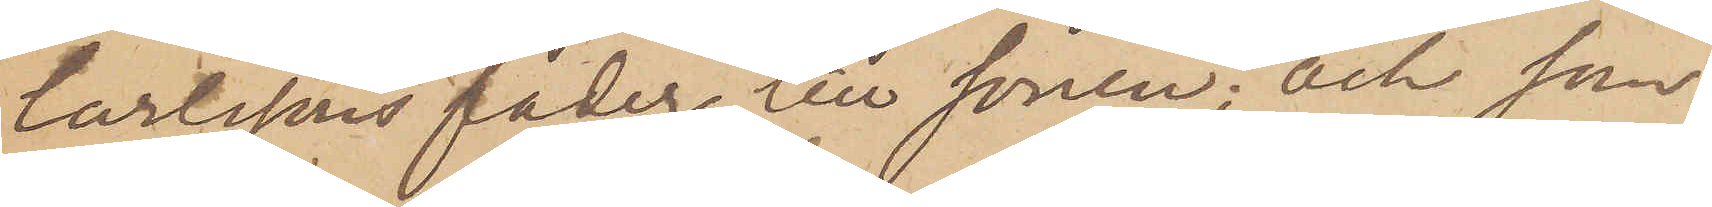Carlssons fader till sonen; och som
